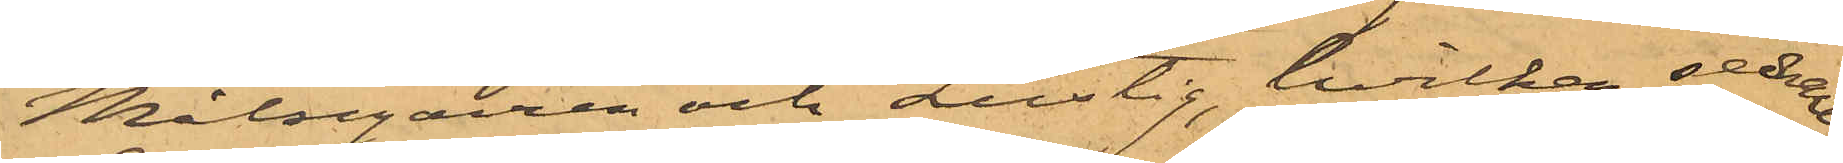Målsegaren och Lustig, hvilken sednare
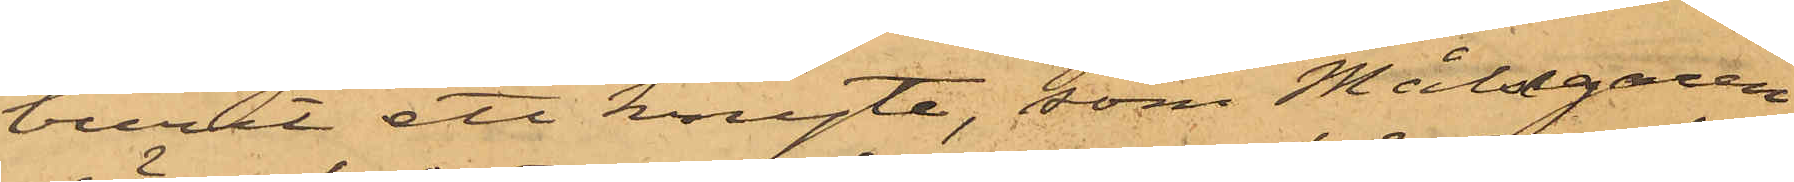burit ett knyte, som Målsegaren
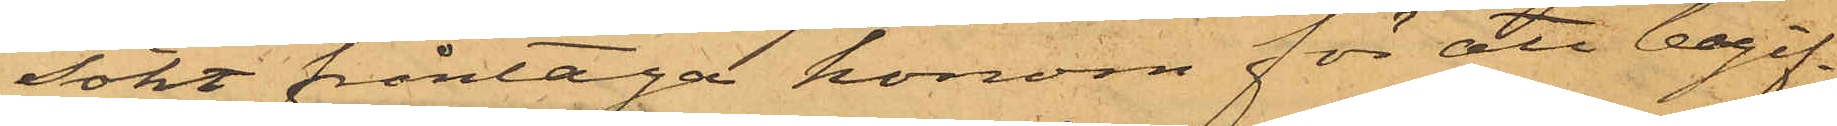sökt fråntaga honom för att begif¬
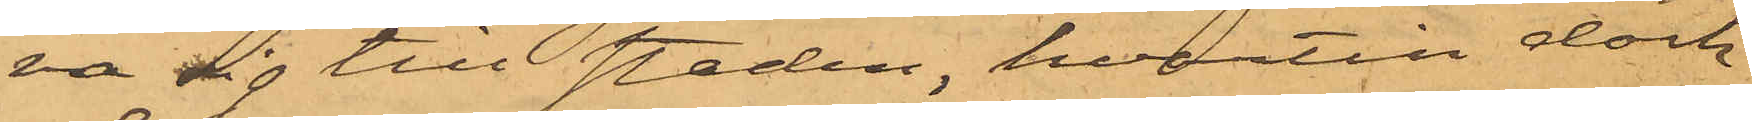va sig till staden, hvartill dock
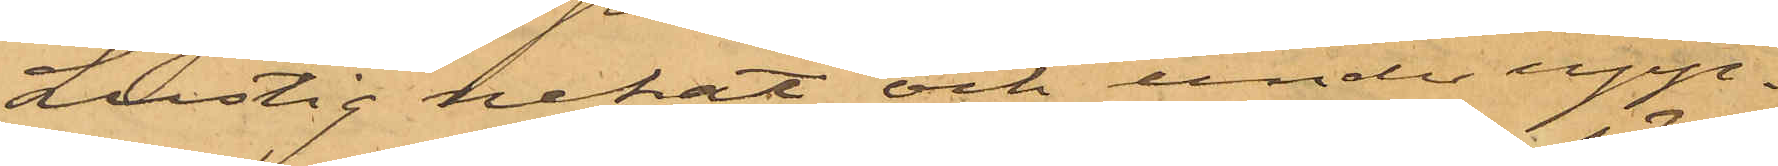Lustig nekat och under upp¬
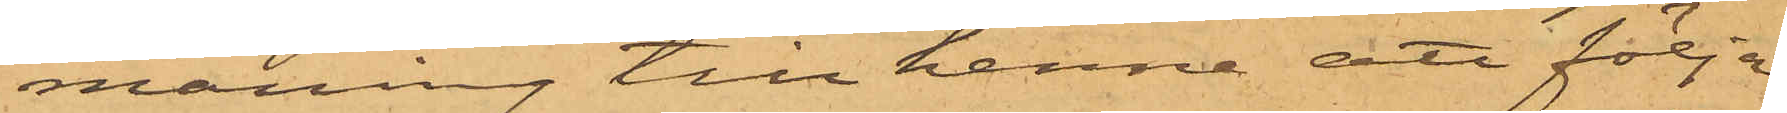maning till henne att följa
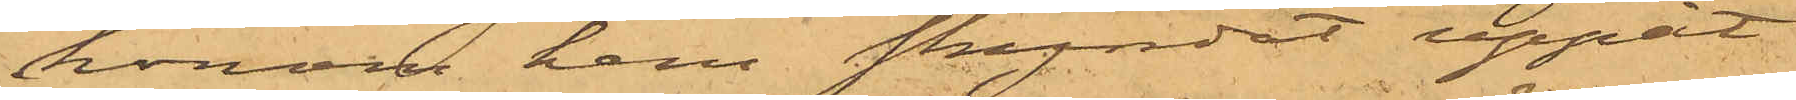honom hem skyndat uppåt
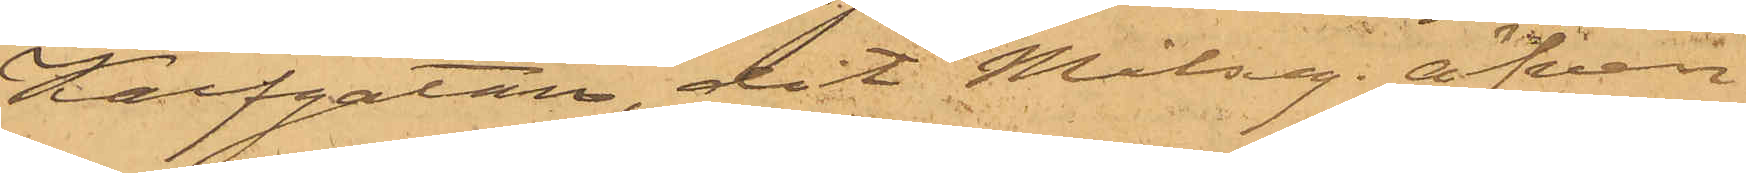Kalfgatan, dit Målseg. äfven
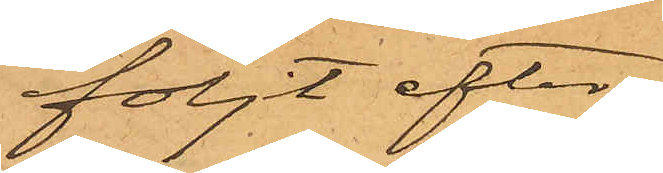följt efter.
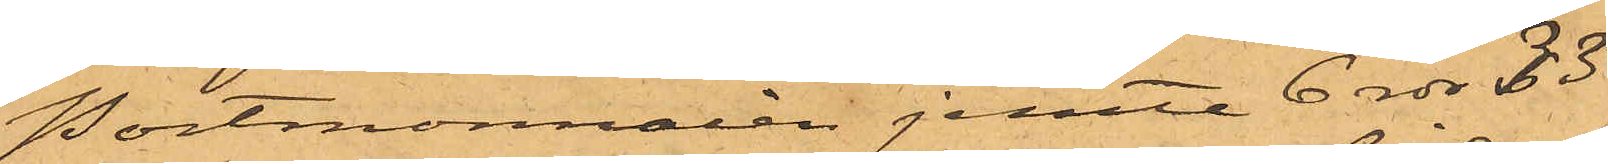Portmonnaien jemte 6 rdr 33
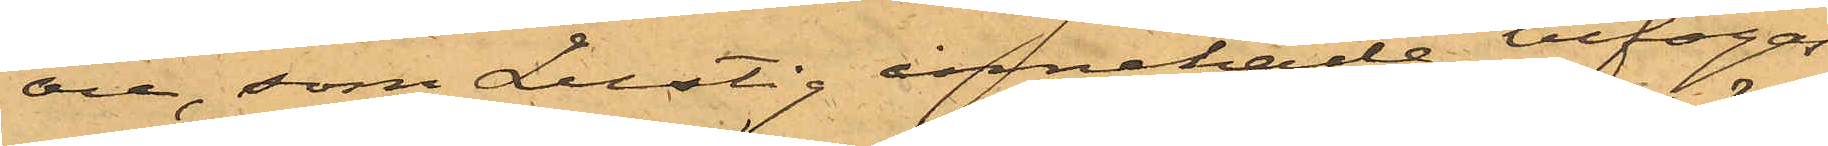öre, som Lustig innehade, bifogas
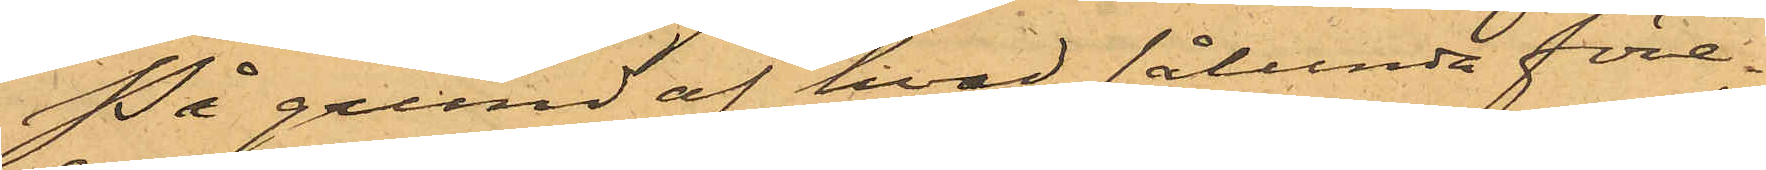På grund af hvad sålunda före¬
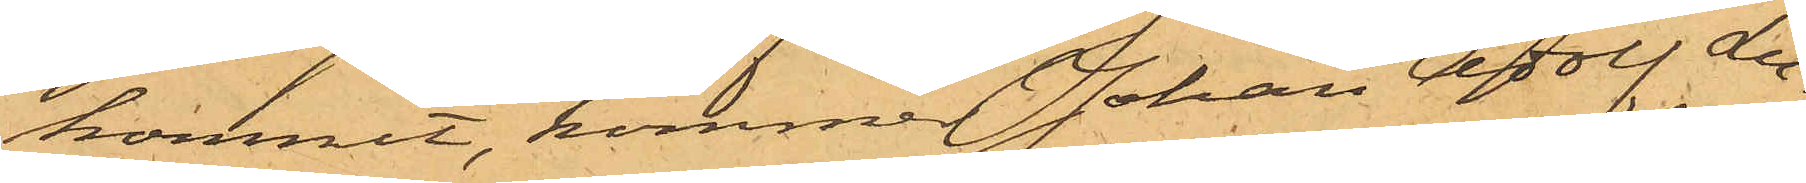kommit, kommer Johan Adolf Lu¬
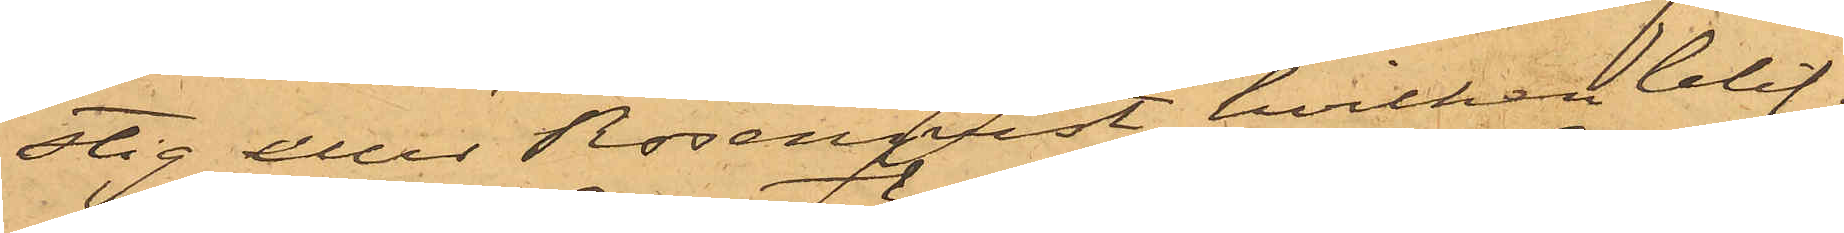stig eller Rosenqvist, hvilken blif¬
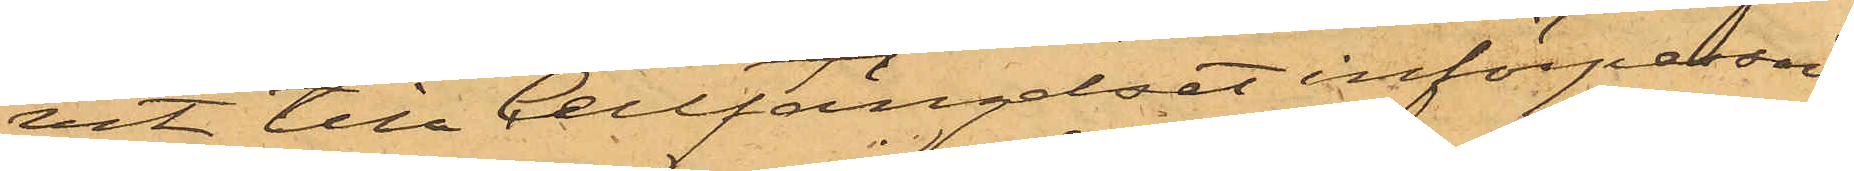vit till Cellfängelset införpassad,
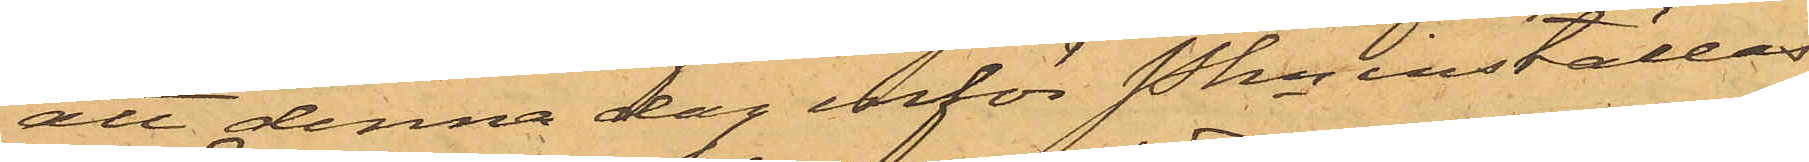att denna dag inför Pkn inställas.
